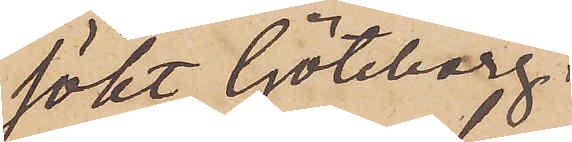sökt Göteborg.
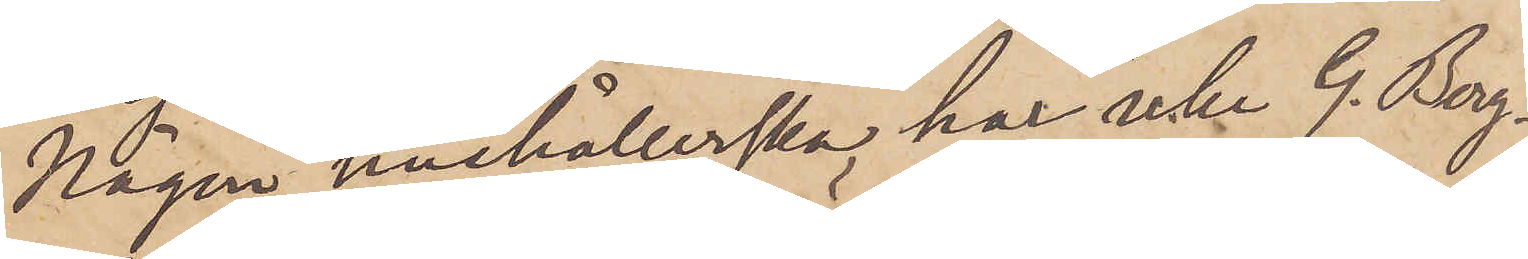Någon hushållerska har icke G. Berg¬
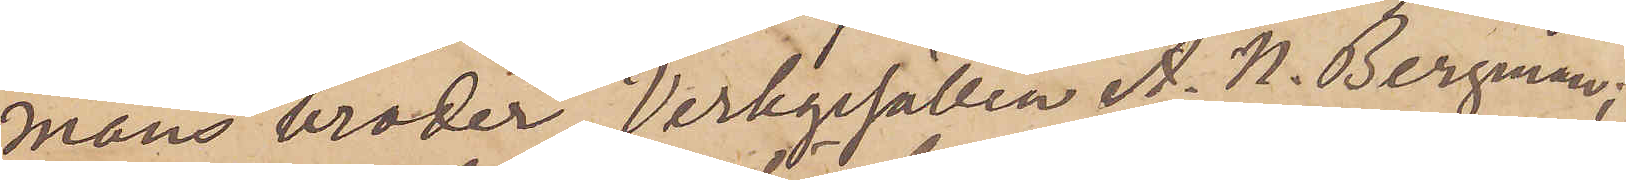mans broder, Verkgesällen A. N. Bergman;
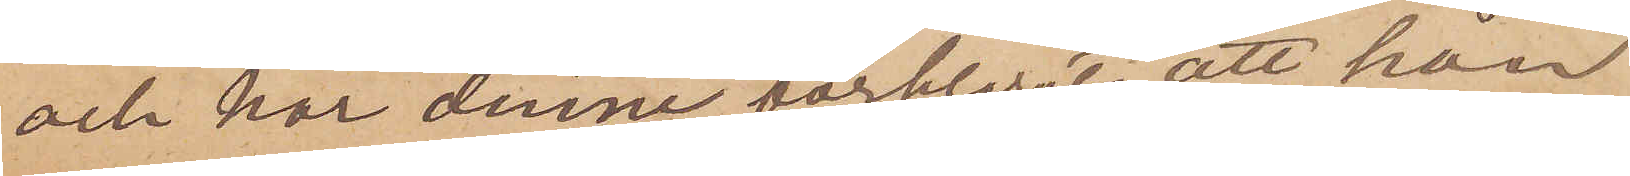och har denne förklarat, att han
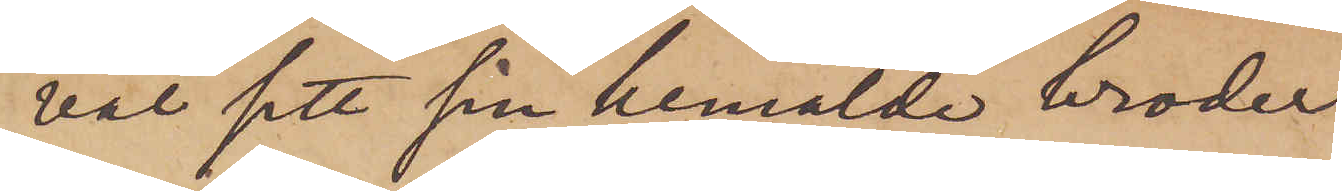väl sett sin bemälde broder
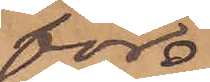för
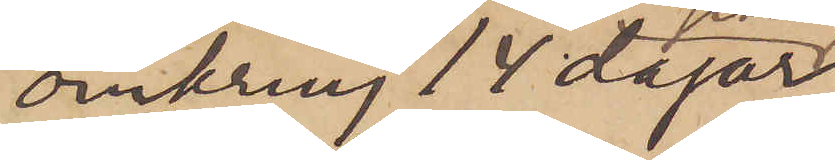omkring 14 dagar
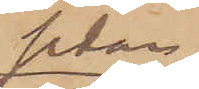sedan,
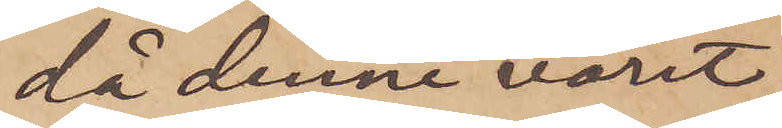då denne varit
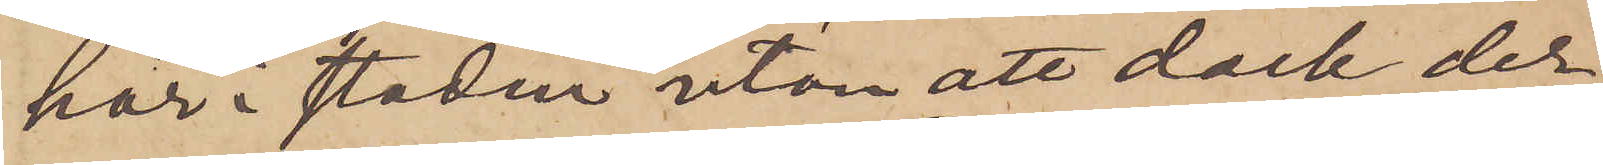här i staden utan att dock der¬
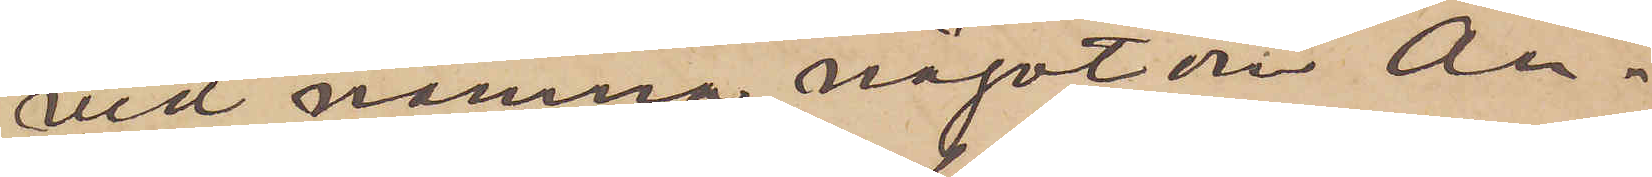vid nämna något om An¬
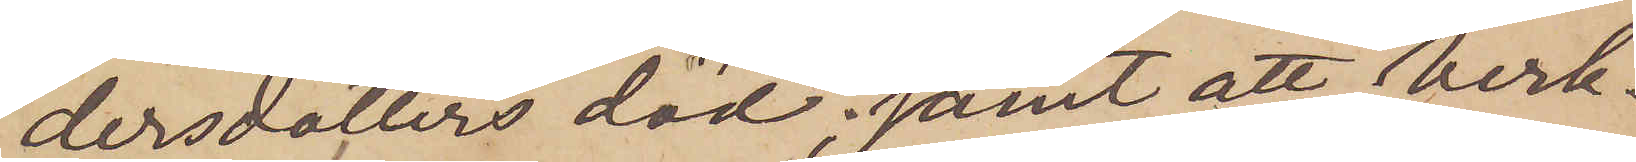dersdotters död; samt att Verk¬
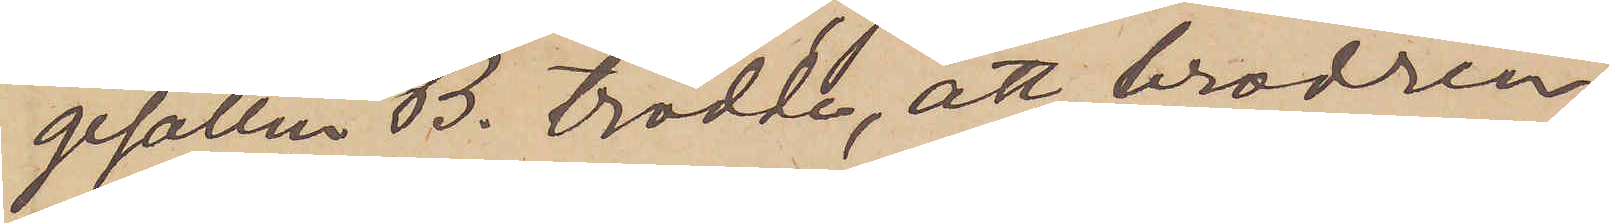gesällen B. trodde, att brodren,
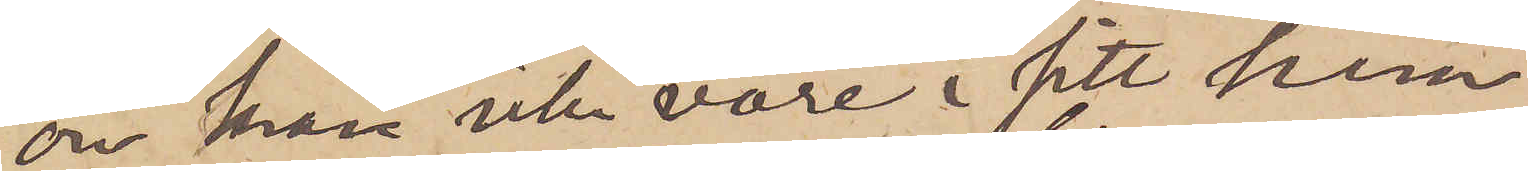om han icke vore i sitt hem,
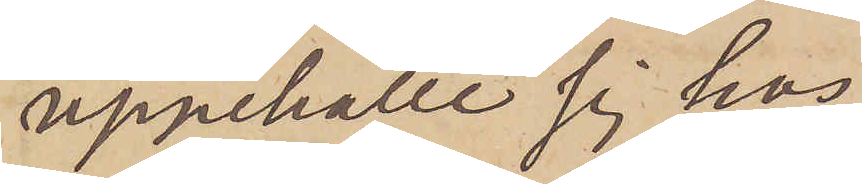uppehölle sig hos
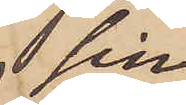 sin
